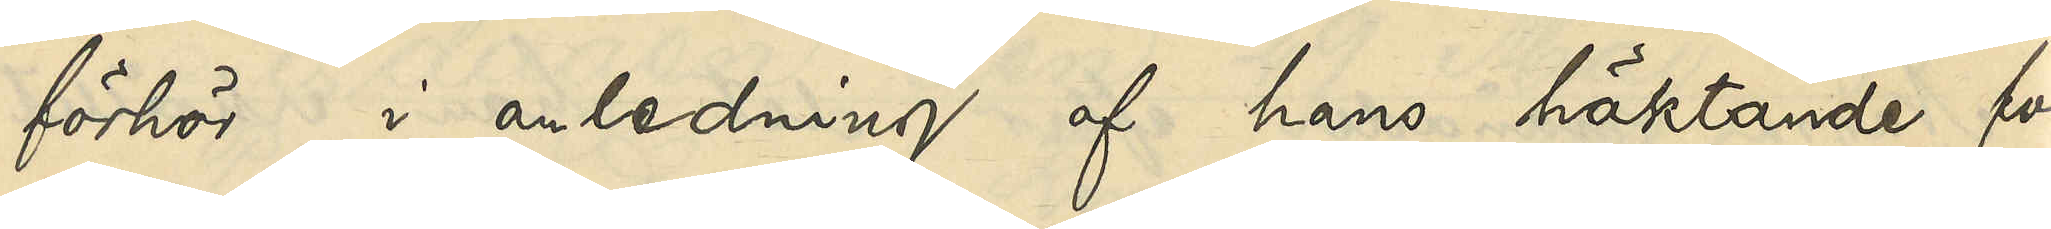förhör i anledning af hans häktande för
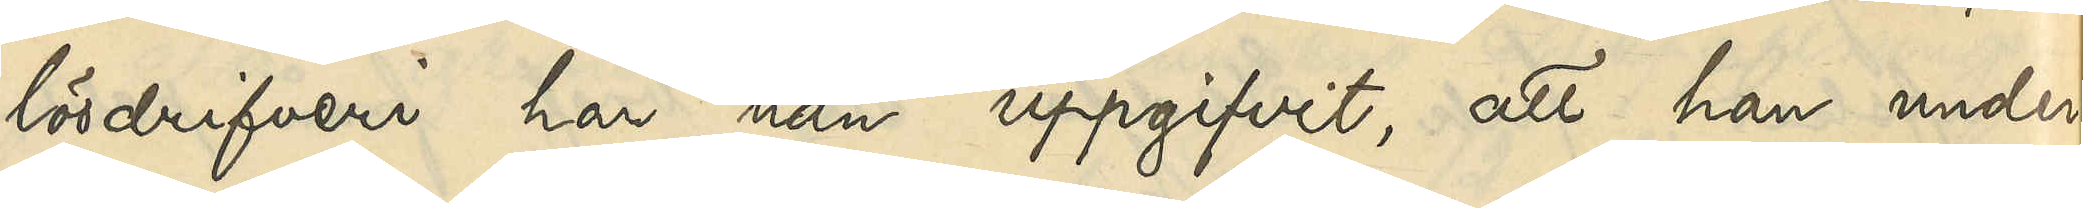lösdrifveri har han uppgifvit, att han under
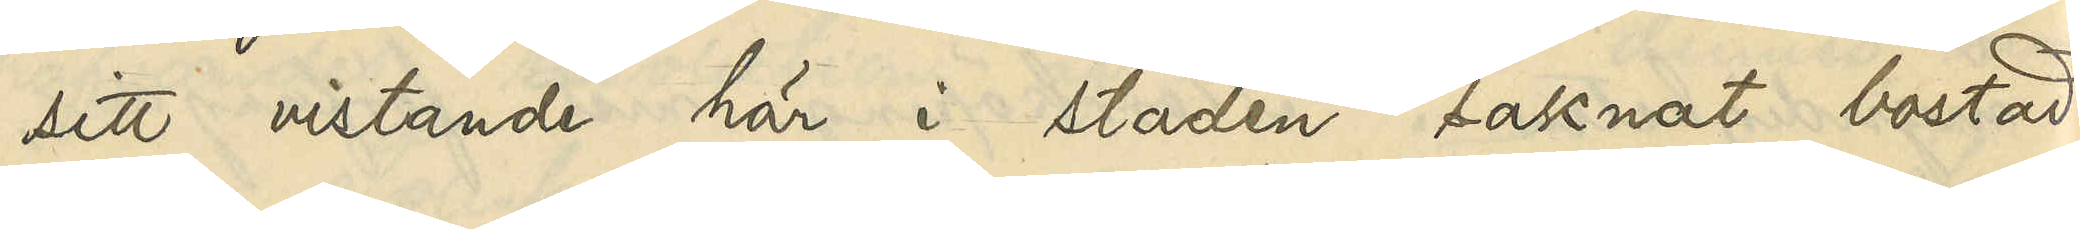sitt vistande här i staden saknat bostad.
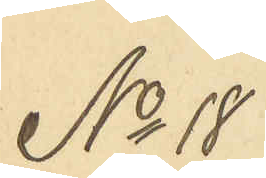No 18
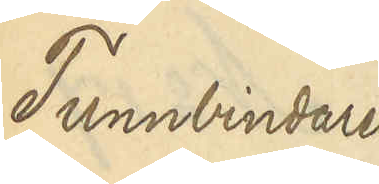Tunnbindaren
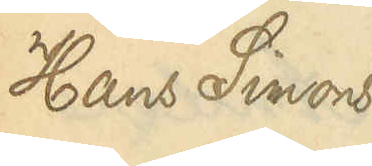Hans Simons¬
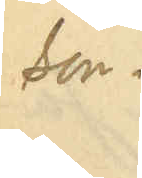son.
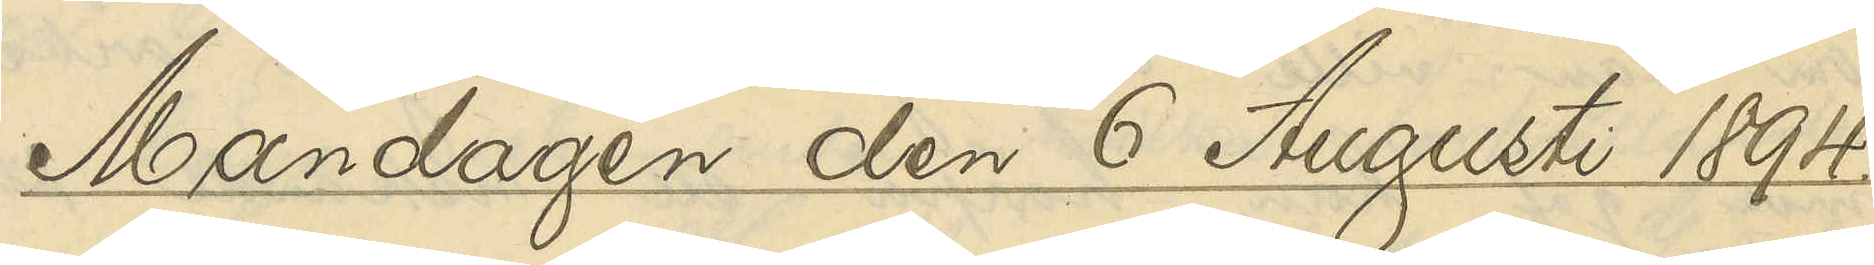Måndagen den 6 Augusti 1894.
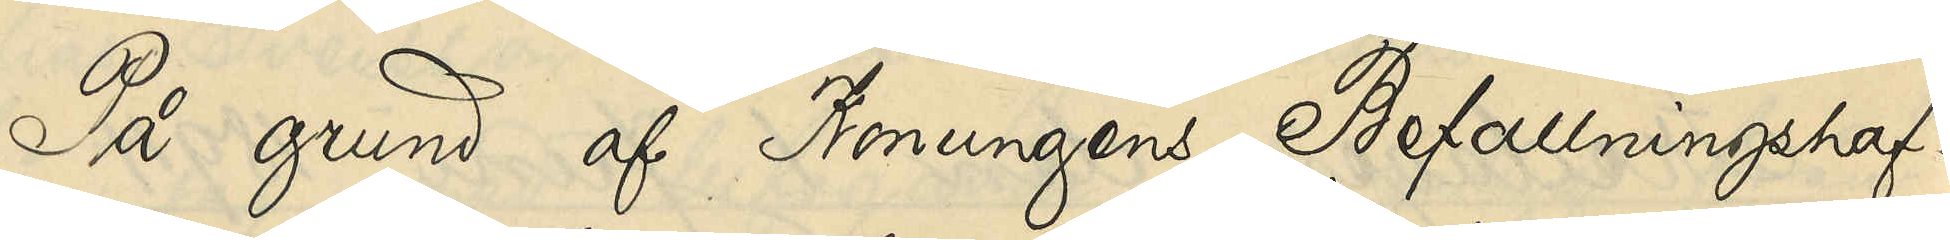På grund af Konungens Befallningshaf¬
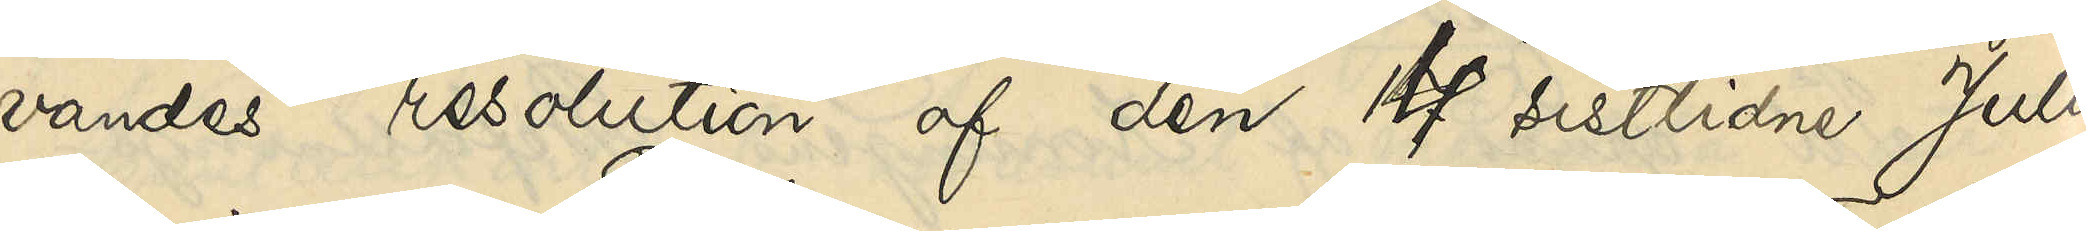vandes resolution af den 4 sistlidne Juli,
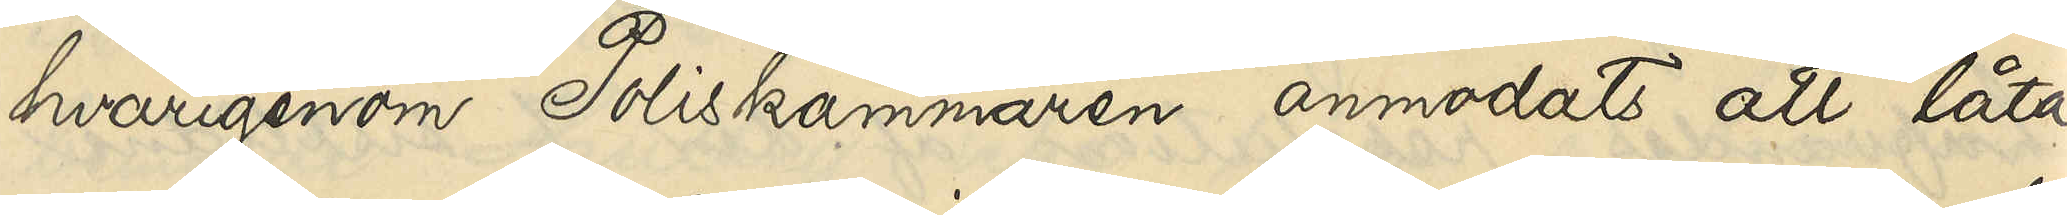hvarigenom Poliskammaren anmodats att låta
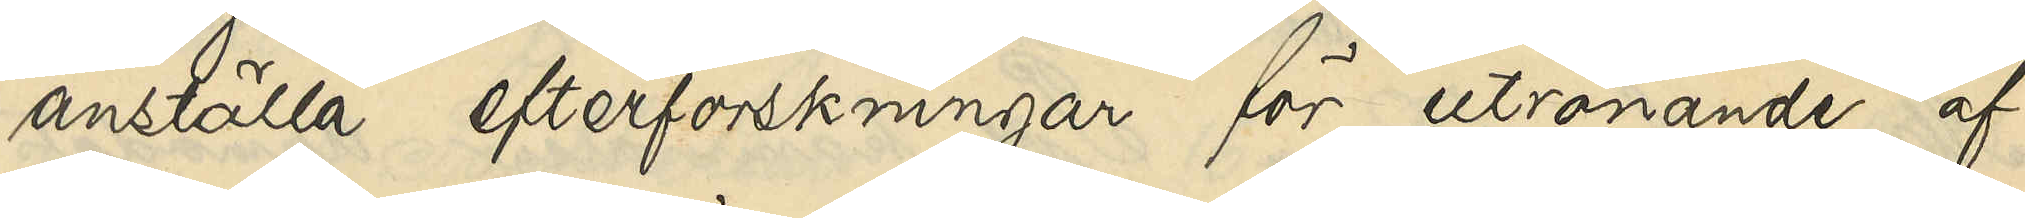anställa efterforskningar för utrönande af
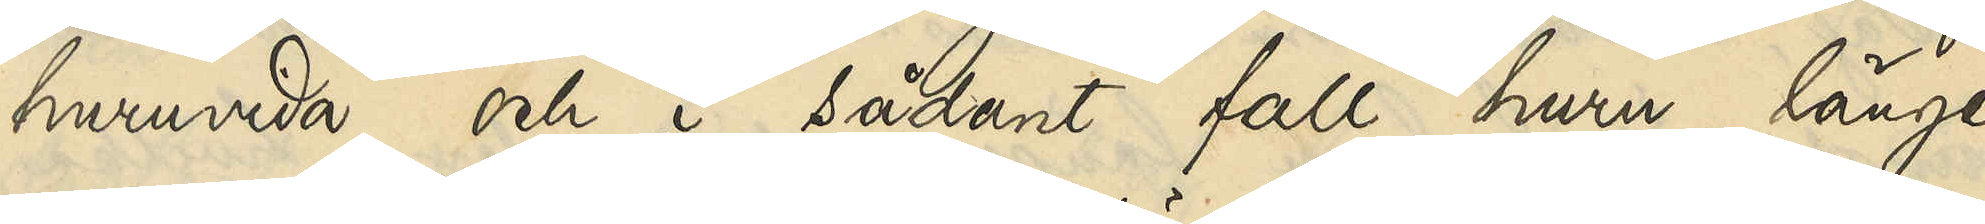huruvida och i sådant fall huru länge
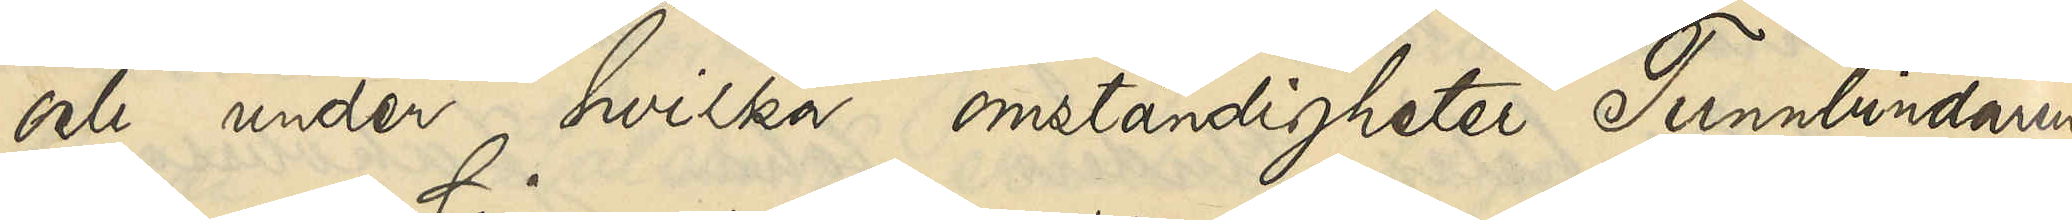och under hvilka omständigheter Tunnbindaren
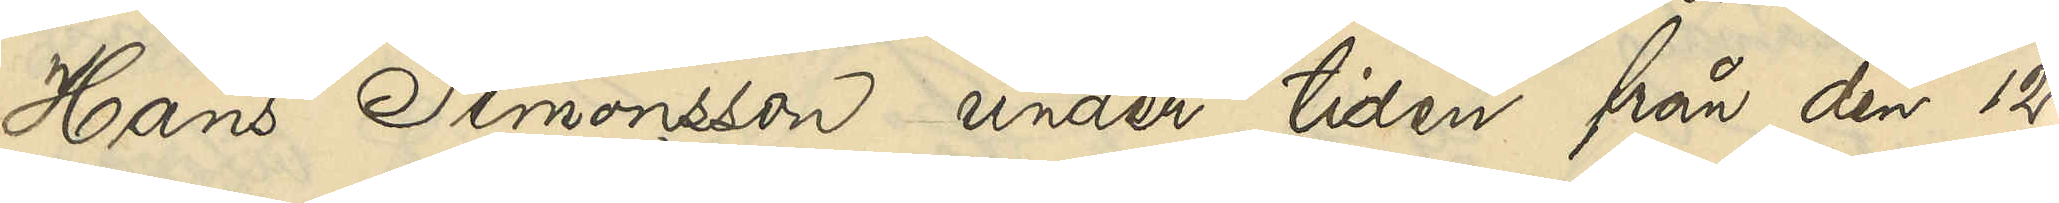Hans Simonsson under tiden från den 12
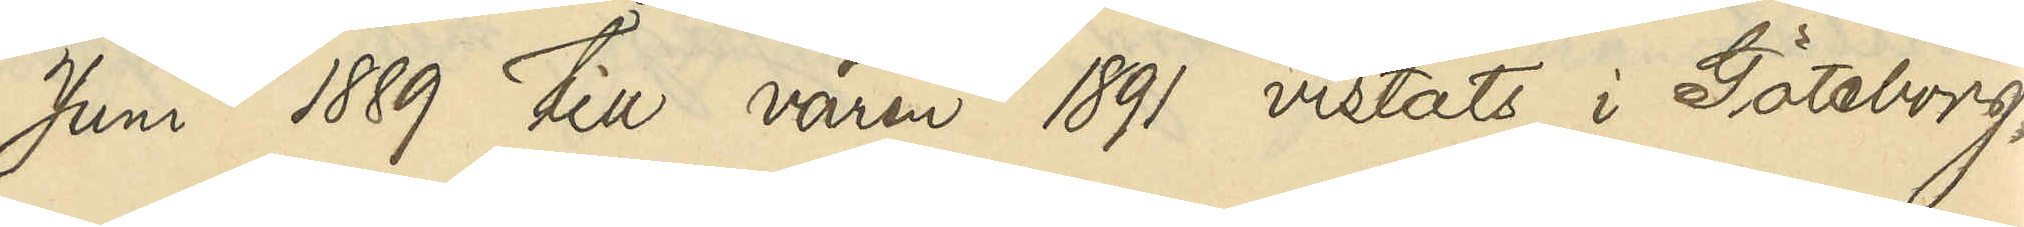Juni 1889 till våren 1891 vistats i Göteborg,
